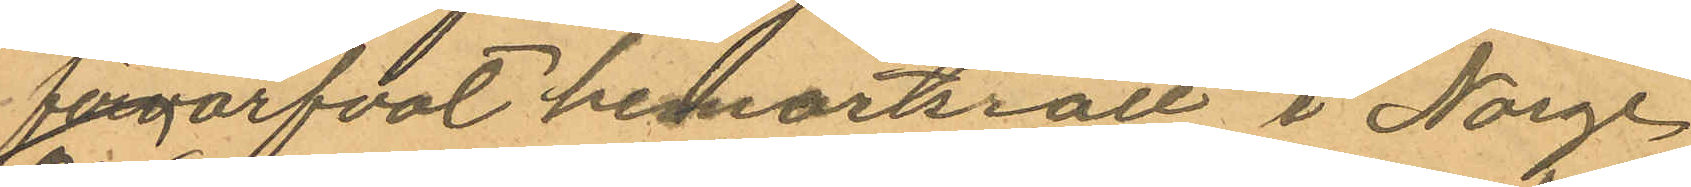förvärfvat hemortsrätt i Norge,
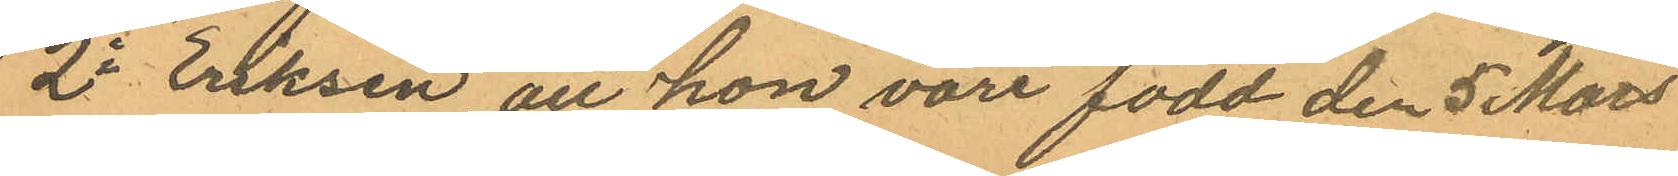2o Eriksen, att hon vore född den 5 Mars
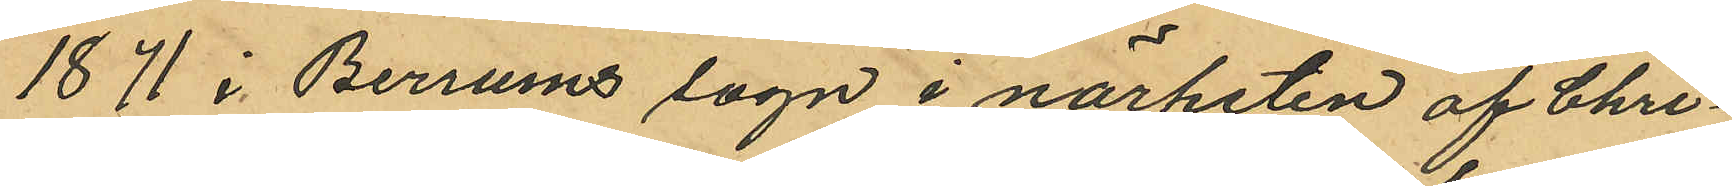1871 i Bersums sogn i närheten af Chri¬
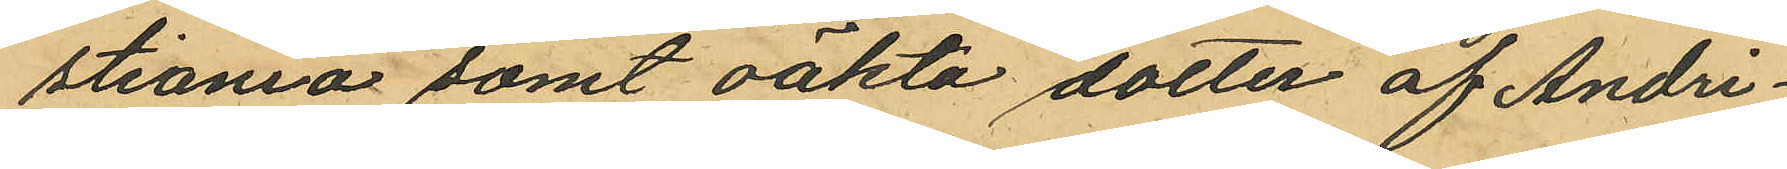stiania samt oäkta dotter af Andri¬
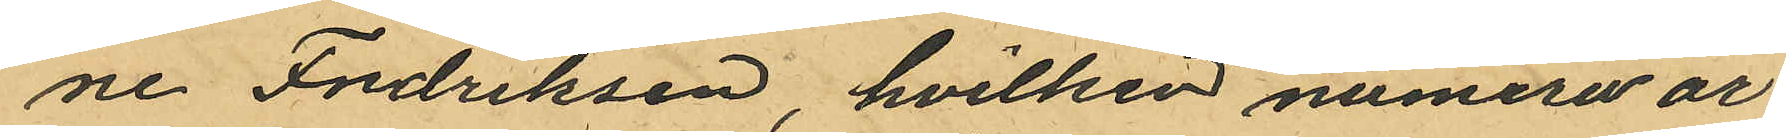ne Fredriksen, hvilken numera är
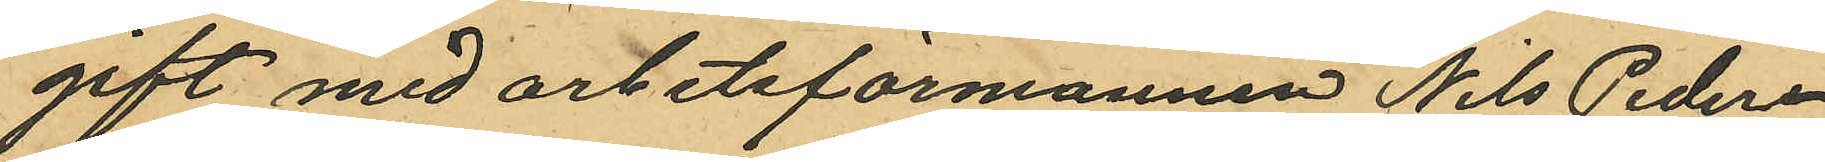gift med arbetsförmannen Nils Peder¬
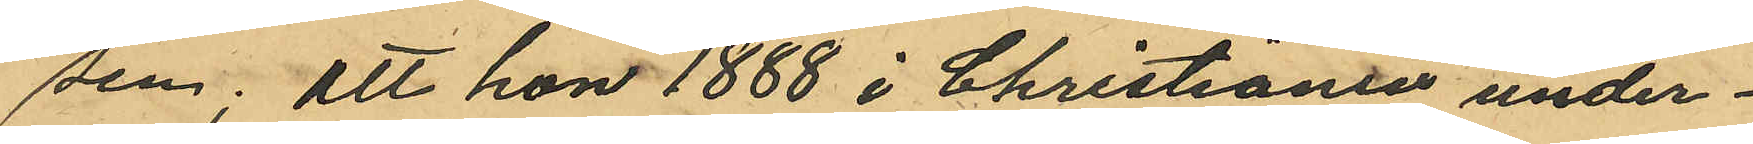sen; att hon 1888 i Christiania under¬
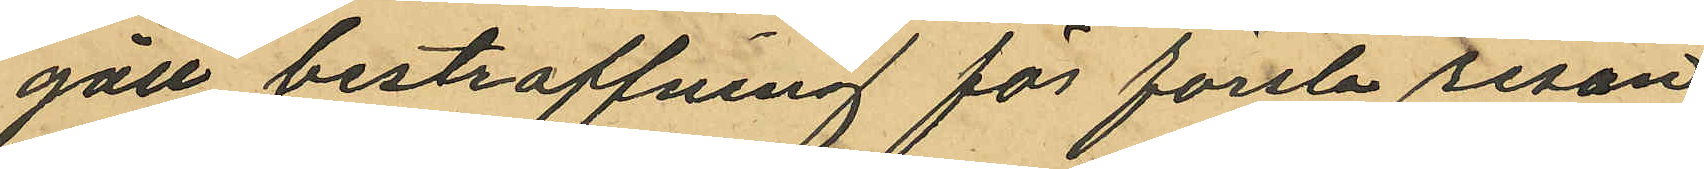gått bestraffning för första resan
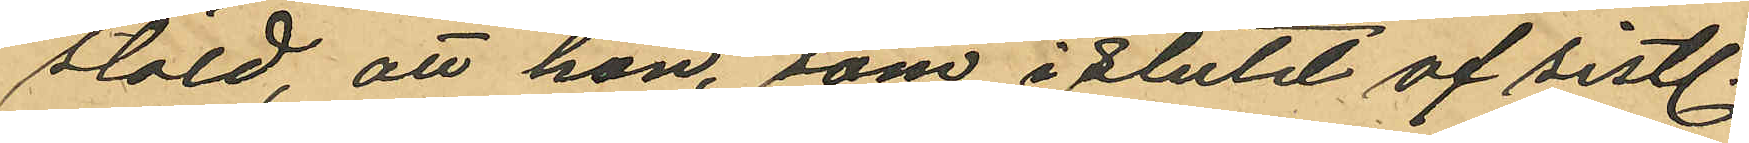stöld, att hon, som i slutet af sistl.
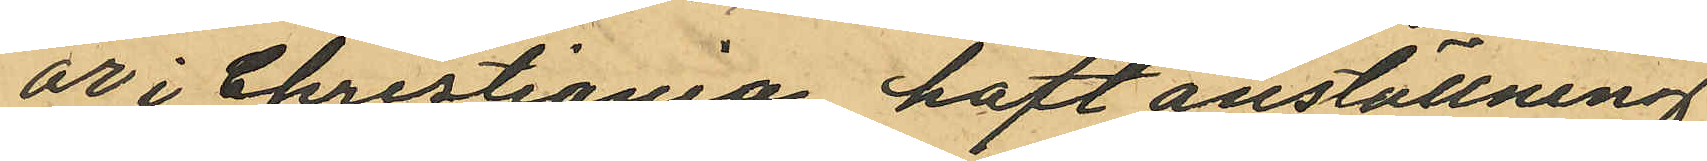år i Christiania haft anställning
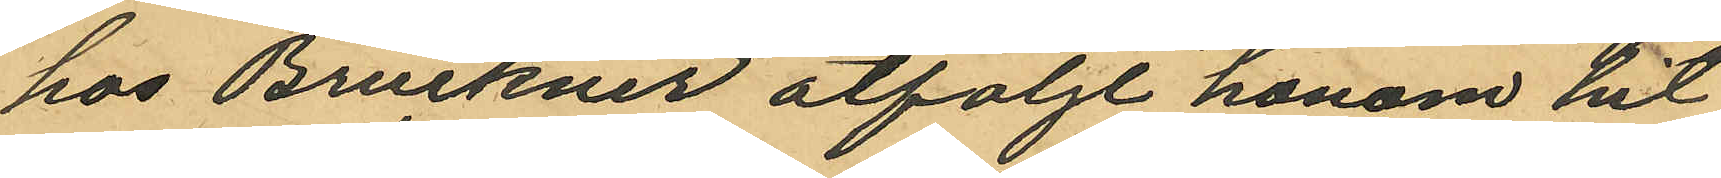hos Bruckner åtföljt honom hit
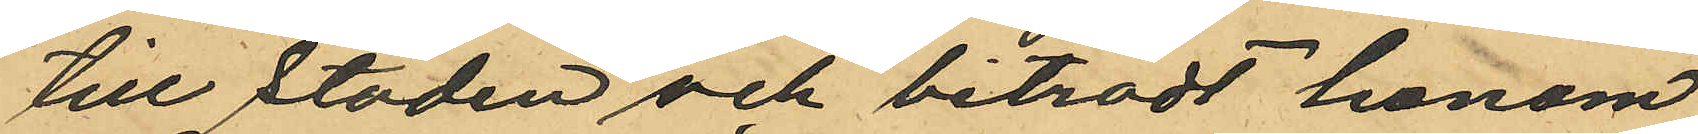till staden och biträdt honom
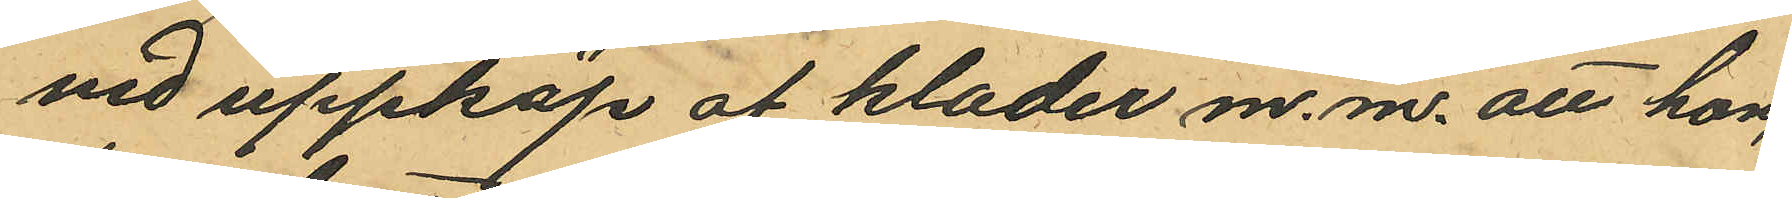vid uppköp af klader m. m. att hon
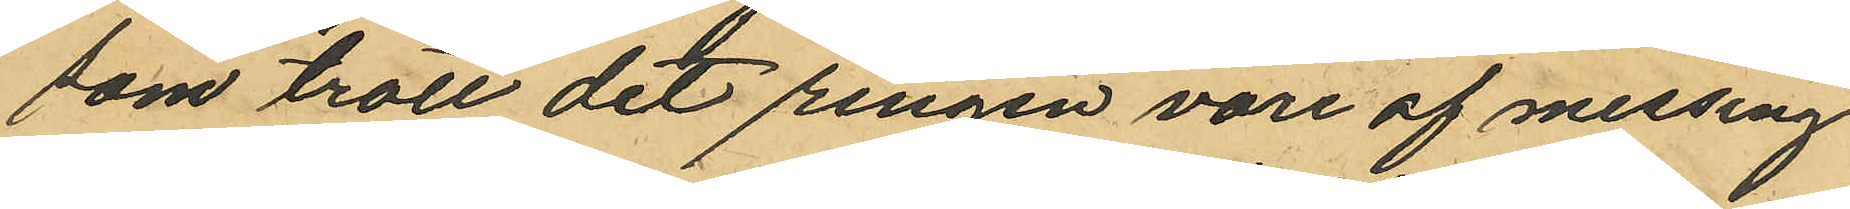som trott det ringen vore af messing
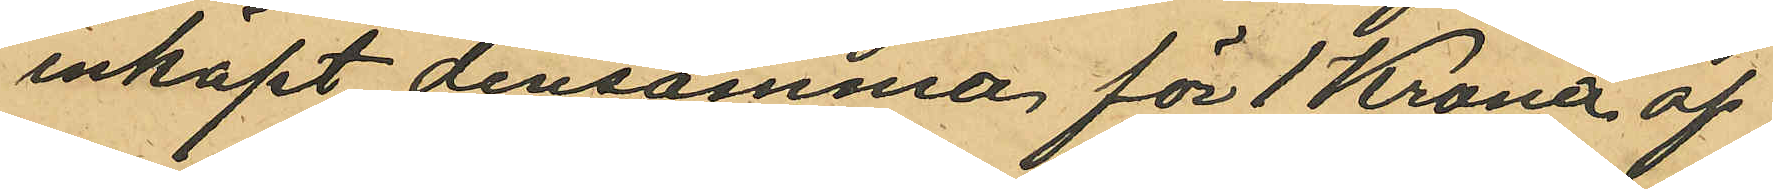inköpt densamma för 1 Krona af
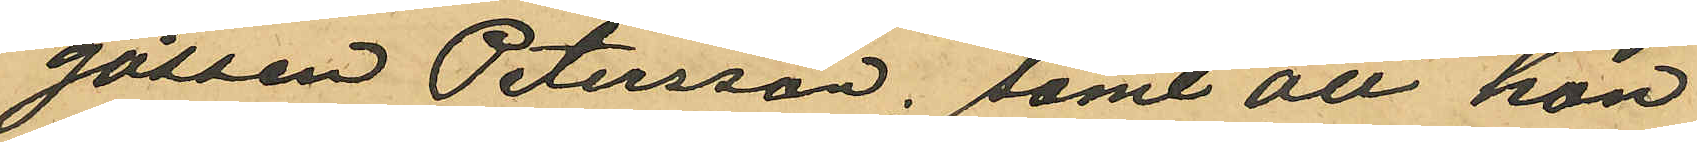gossen Petersson, samt att hon
